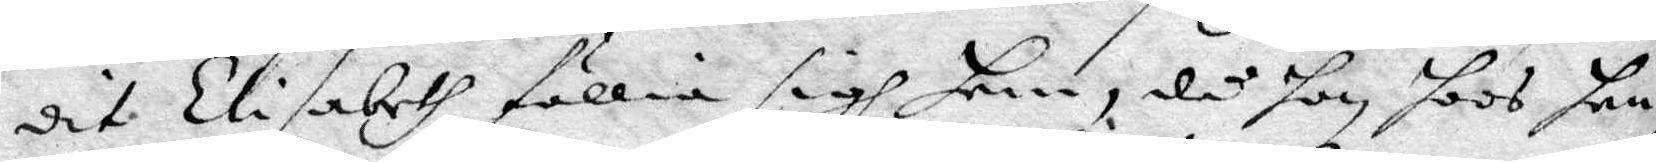dit Elisabeth föllia sigh hem, då hon hoos hen¬
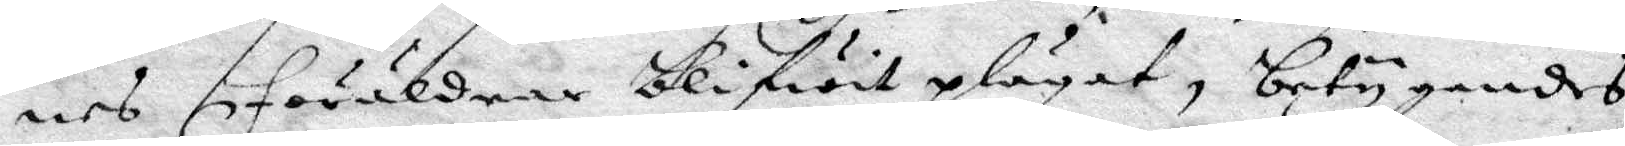nes föräldrar blifwit plägat, betygandes
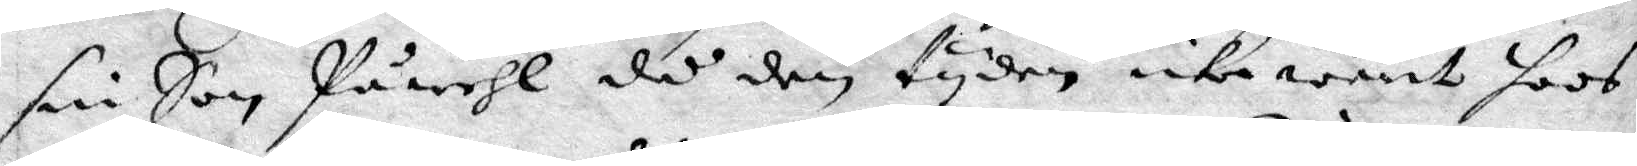sin Son Påwehl då den tyden icke warit hoos
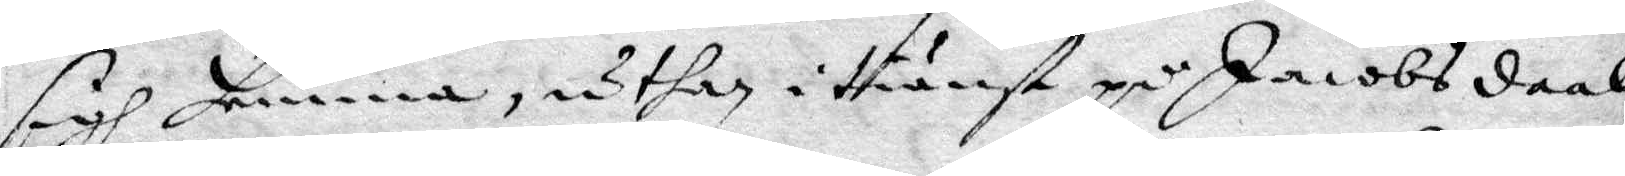sigh hemma, uthan i tiänst på Jacobsdaal
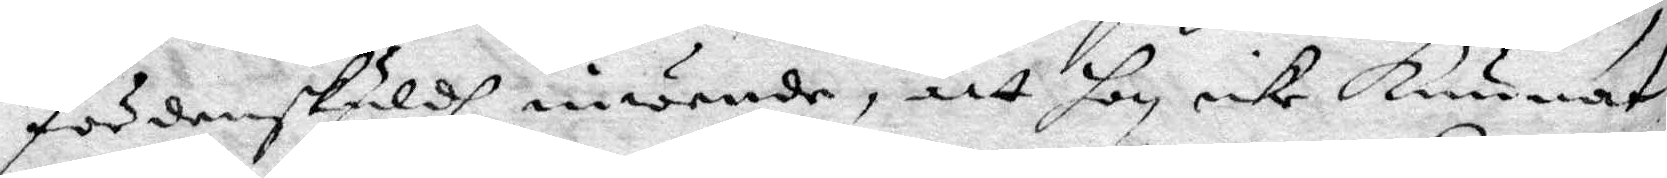fördenskuldh niöende, att hon icke Kunnat
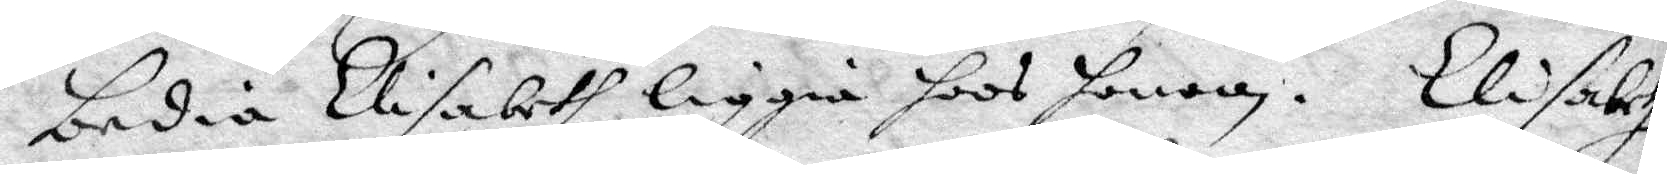bedia Elisabeth liggia hoos honom. Elisabeth
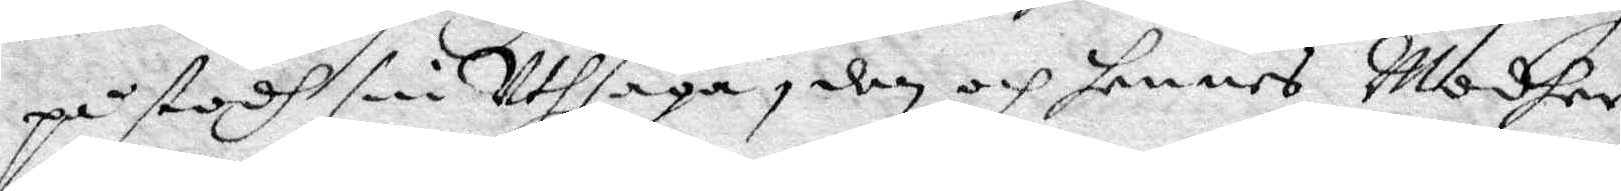påstodh sin Uthsaga, den och hennes Modher
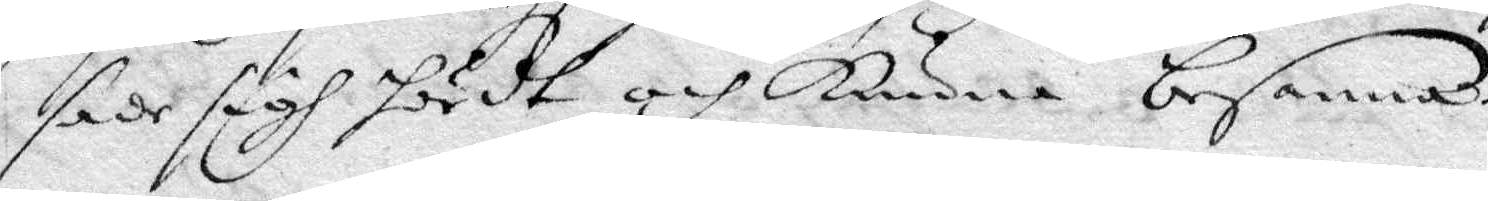sade sigh hördt och kunna besanna.
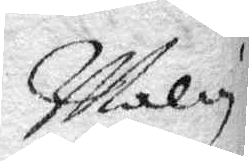Malin
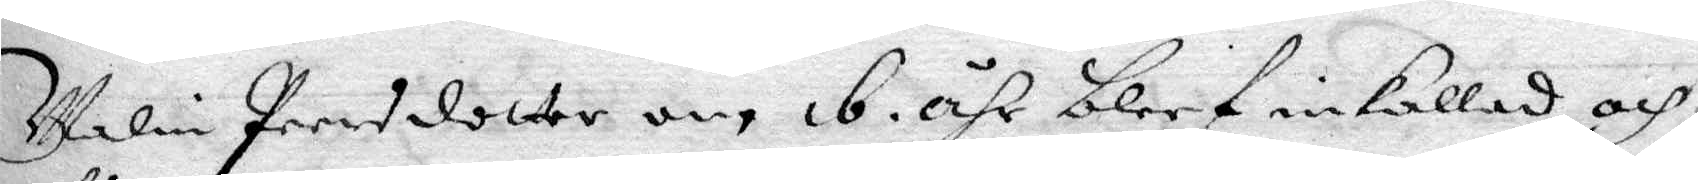Malin Peersdotter om 16 åhr bleef inkallas och
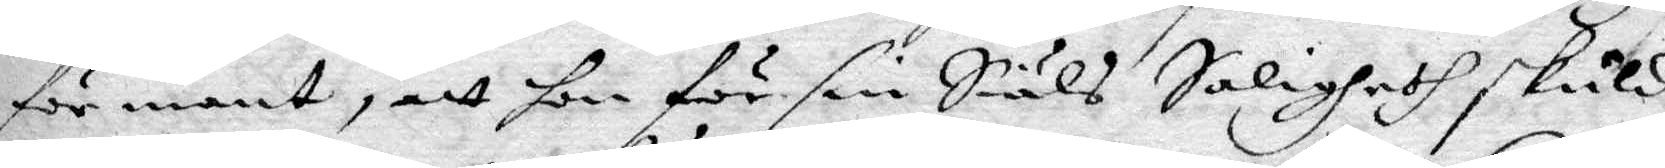förmant, att hon för sin Siäls Saligheth skuld
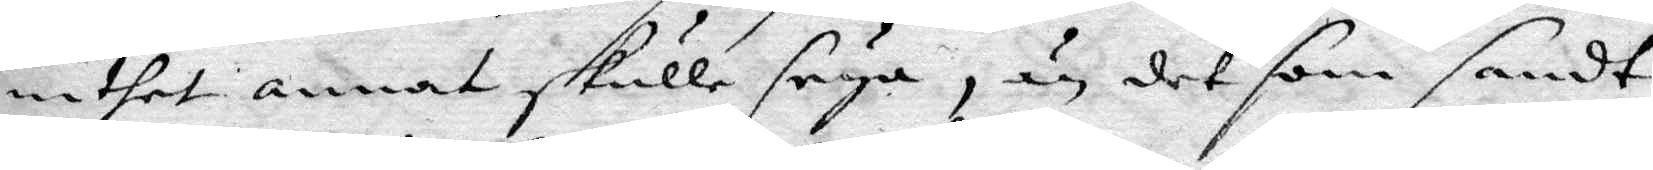inthet annat skulle seya, än det som sandt
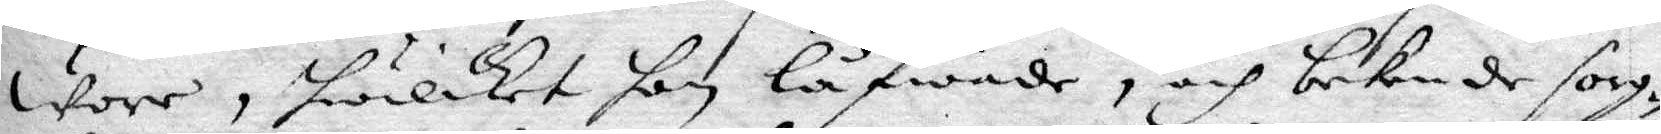wore, hwilket hon låfwade, och bekende sorg¬
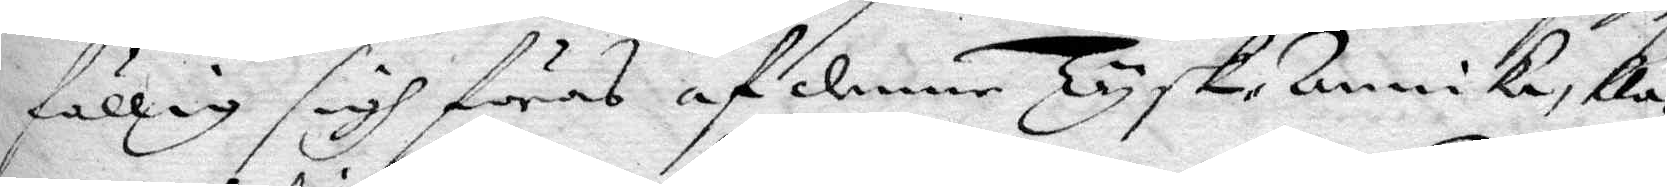fällig sigh föras af denne Tysk-Annika, kla¬
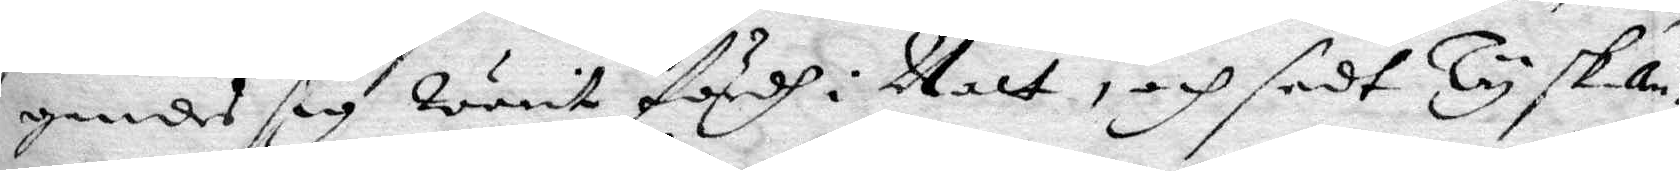gandes sig warit fordh i Natt, och sedt Tysk-an¬
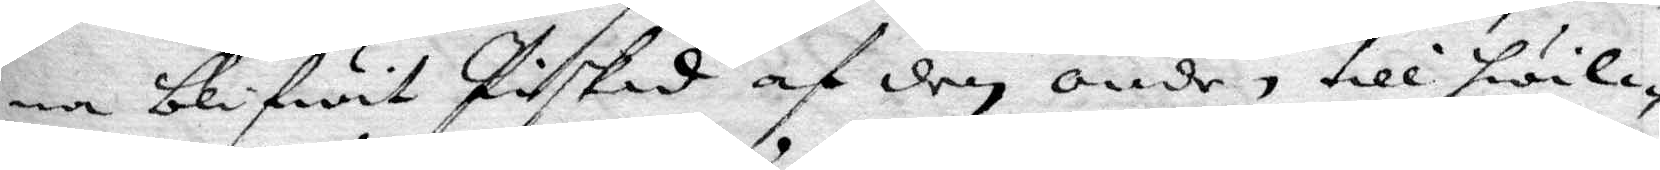na blifwit Piskad af den onde, till hwil¬
